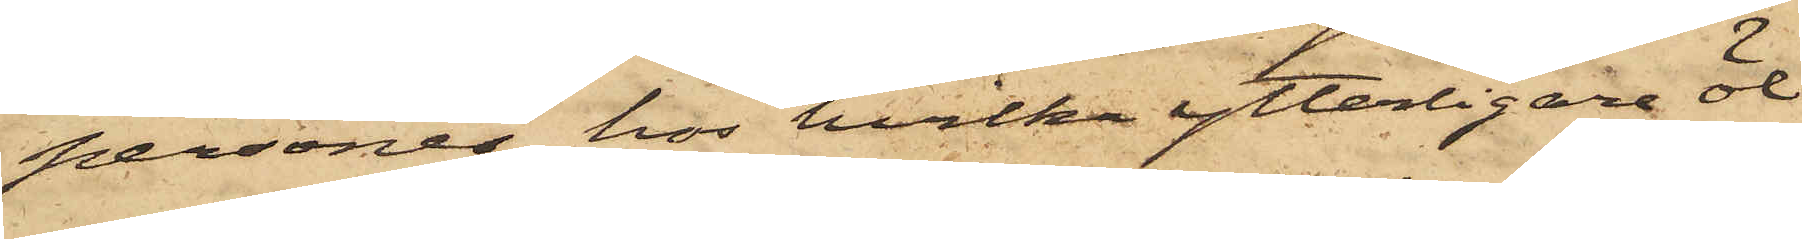personer; hos hvilka ytterligare öl
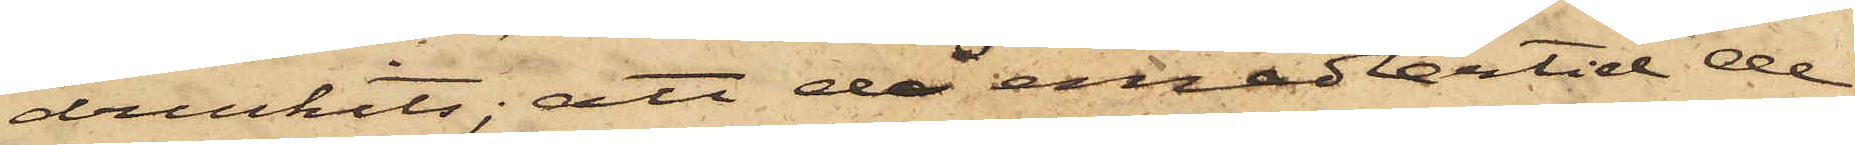druckits; att då emedlertid de
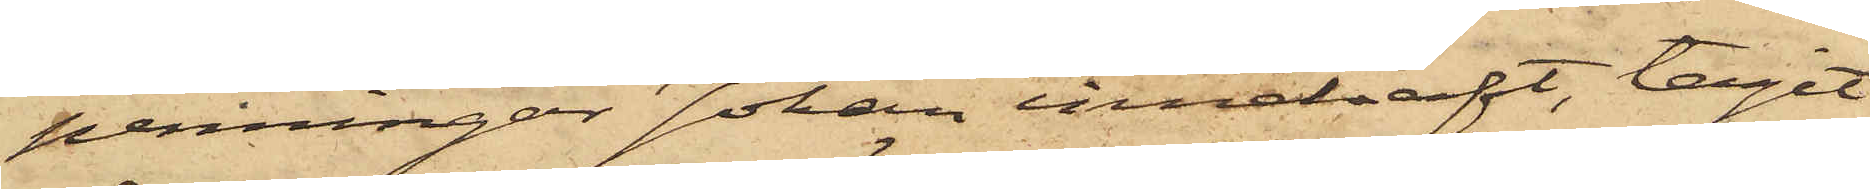penningar Johan innehaft, tagit
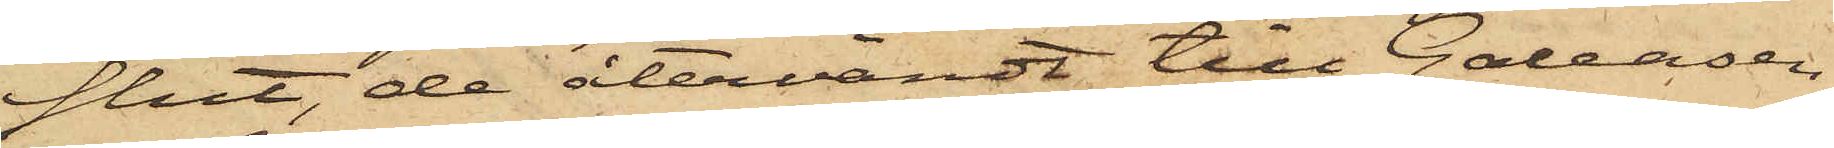slut, de återvändt till Galeasen,
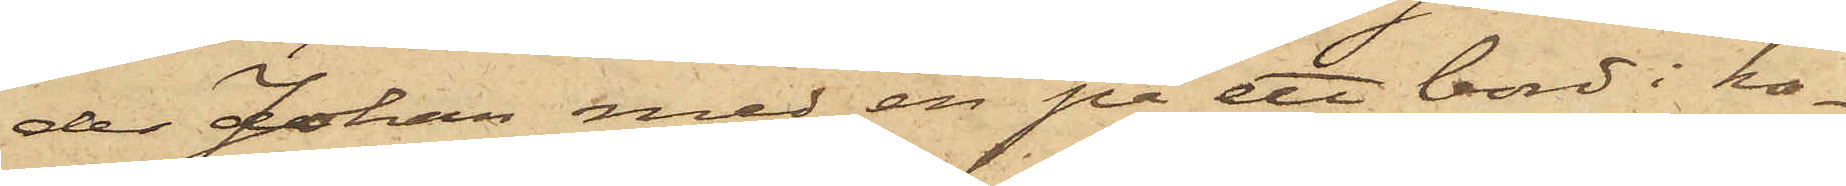der Johan med en på ett bord i ka¬
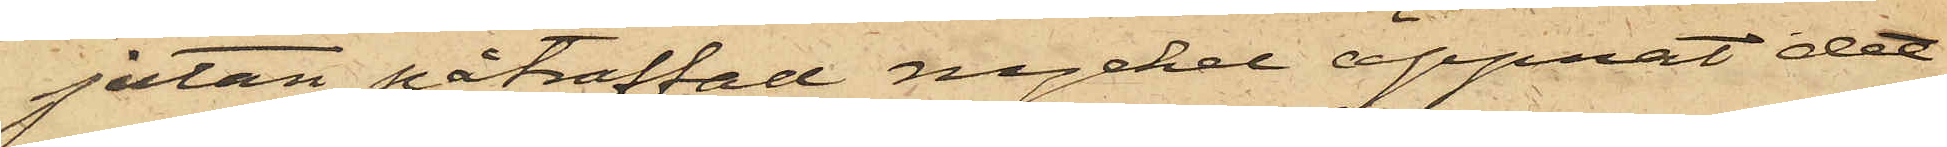jutan påträffad nyckel öppnat det
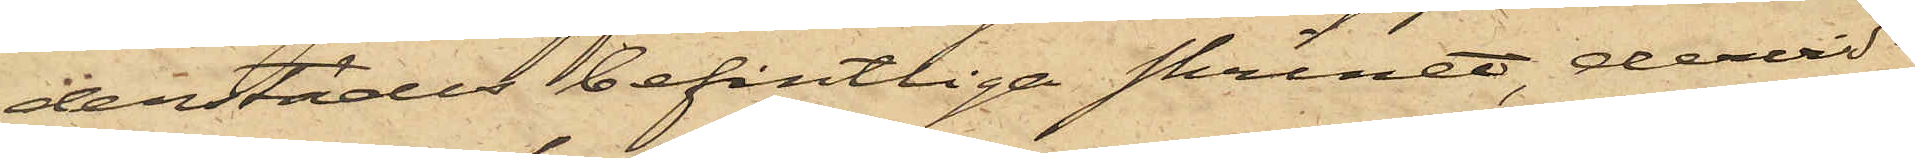derstädes befintliga skrinet dervid
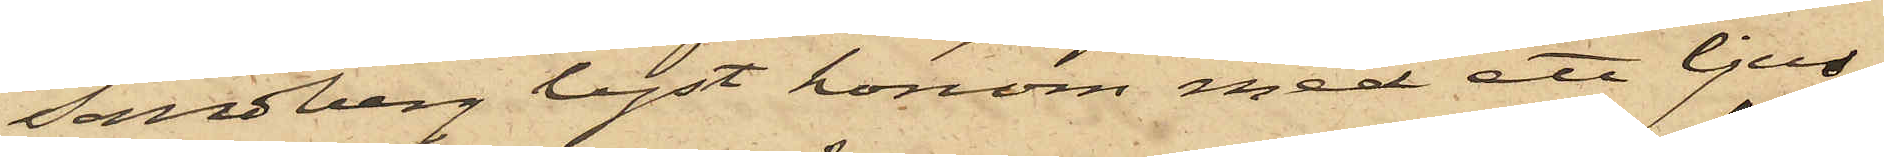Sandberg lyst honom med att ljus;
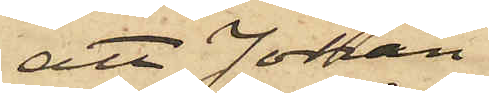att Johan
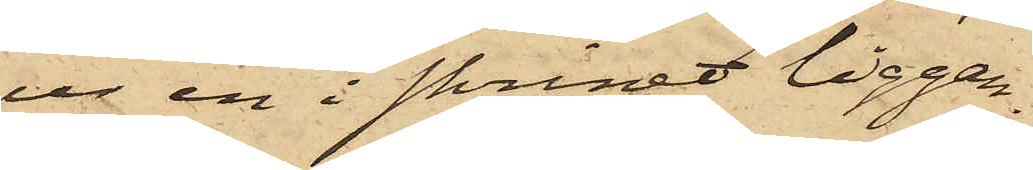ur en i skrinet liggan¬
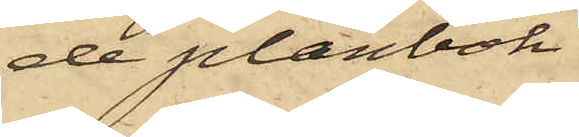de plånbok
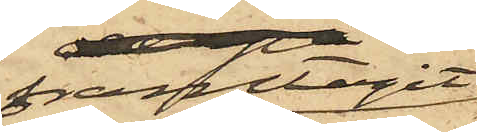framtagit
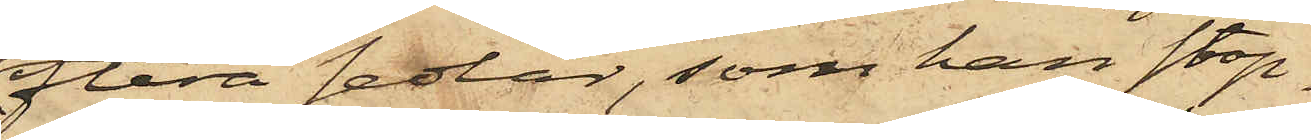flera sedlar, som han stop¬
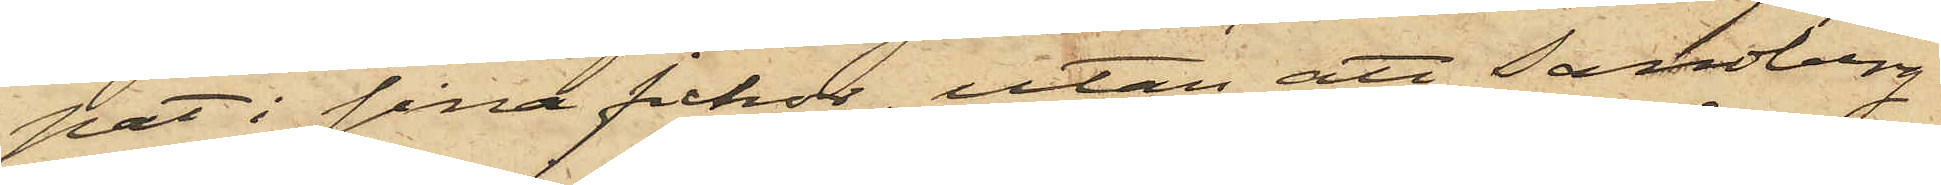pat i sina fickor, utan att Sandberg
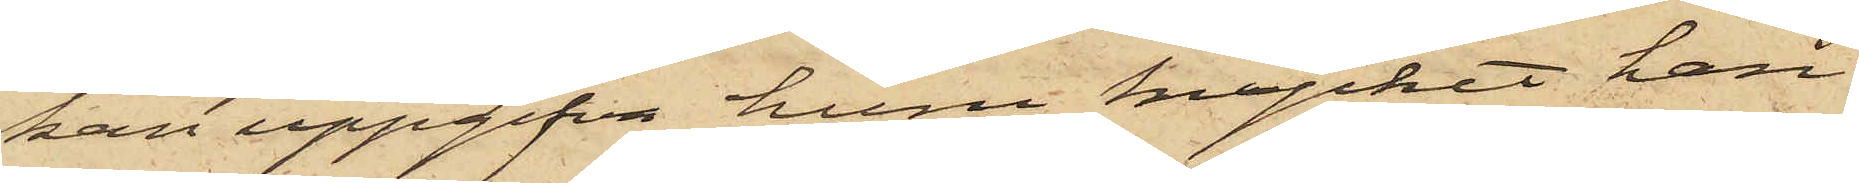kan uppgifva huru mycket han
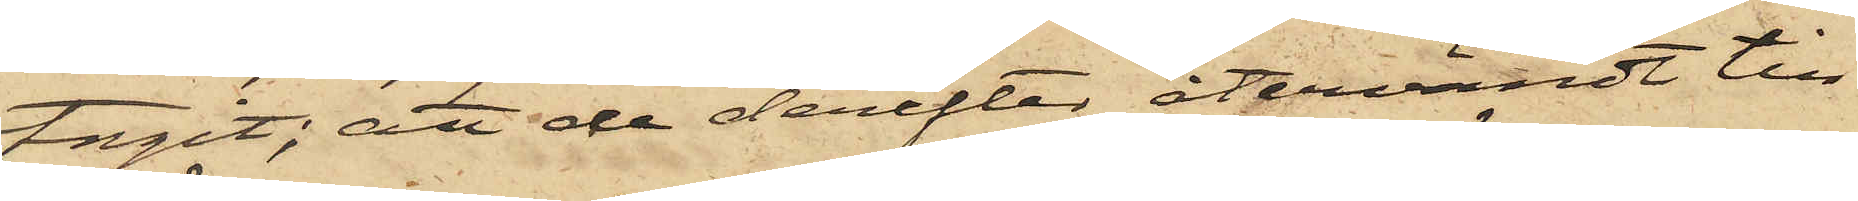tagit; att de derefter återvändt till
